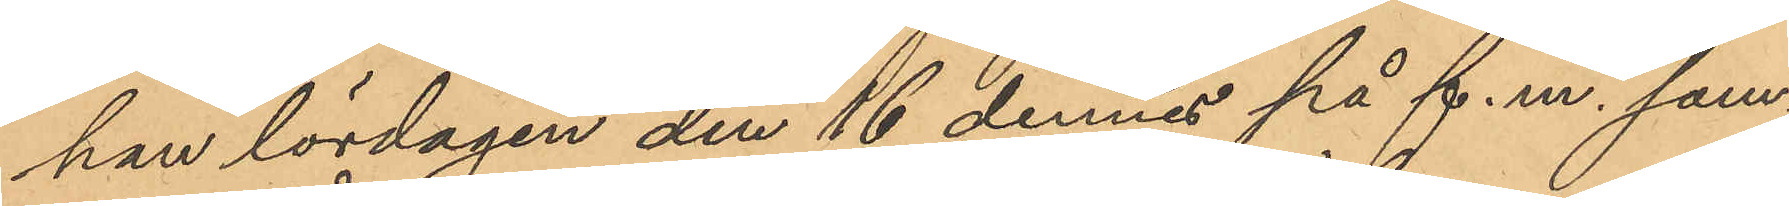han lördagen den 16 dennes på f.m. sam¬
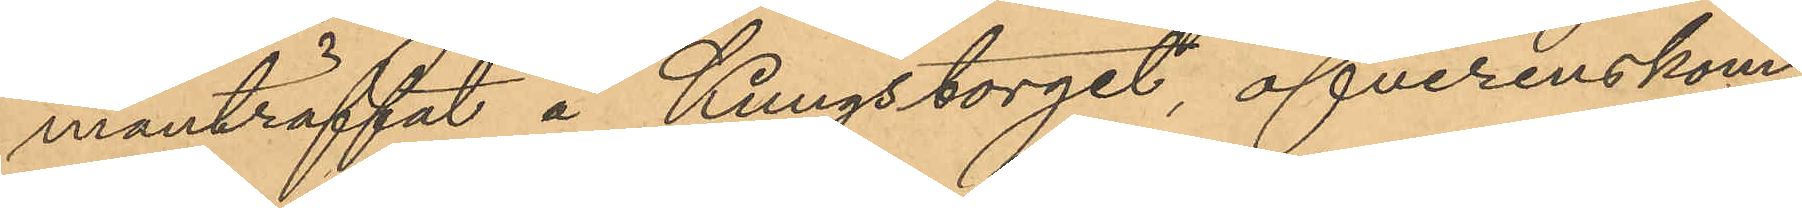manträffat å Kungstorget, öfverenskom¬
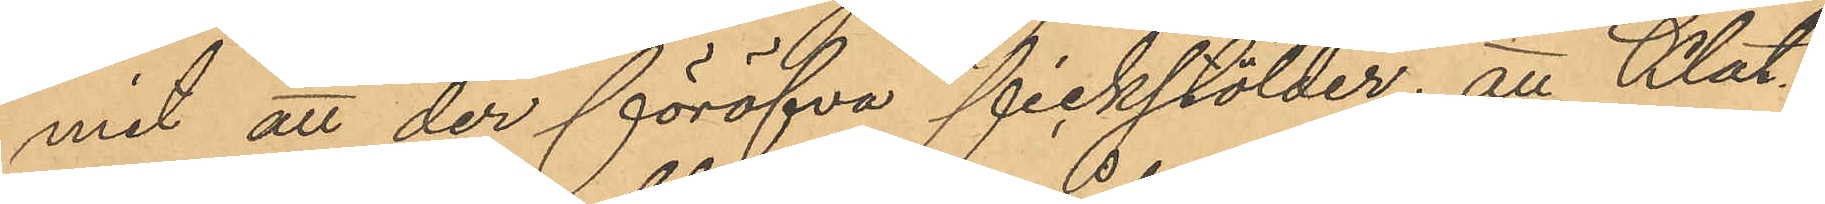mit att der föröfva fickstölder; att Klat¬
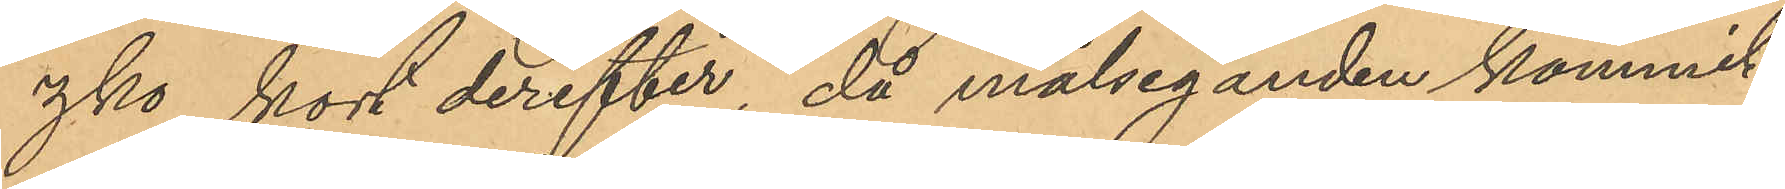zko kort derefter, då målseganden kommit
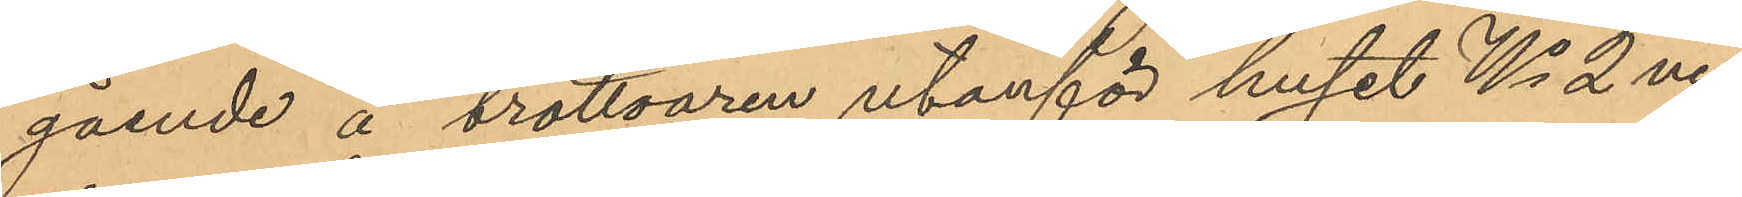gående å trottoaren utanför huset No 2 vid
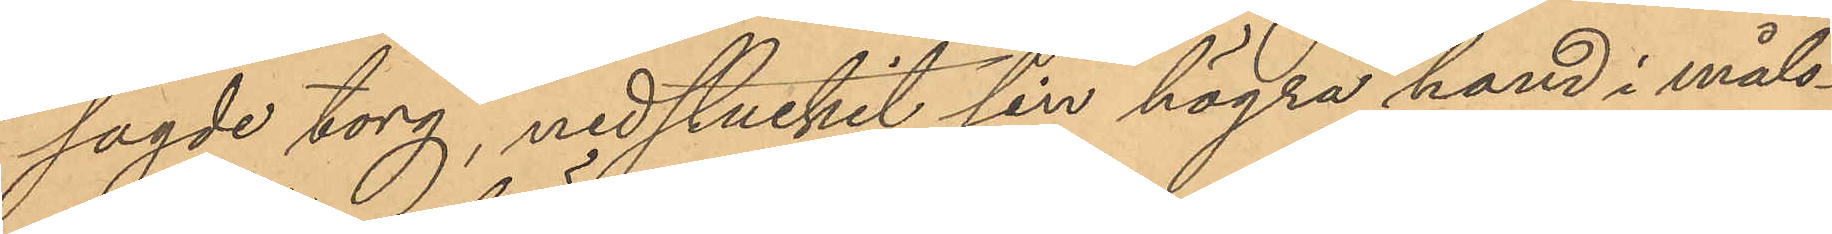sagde torg, nedstuckit sin högra hand i måls¬
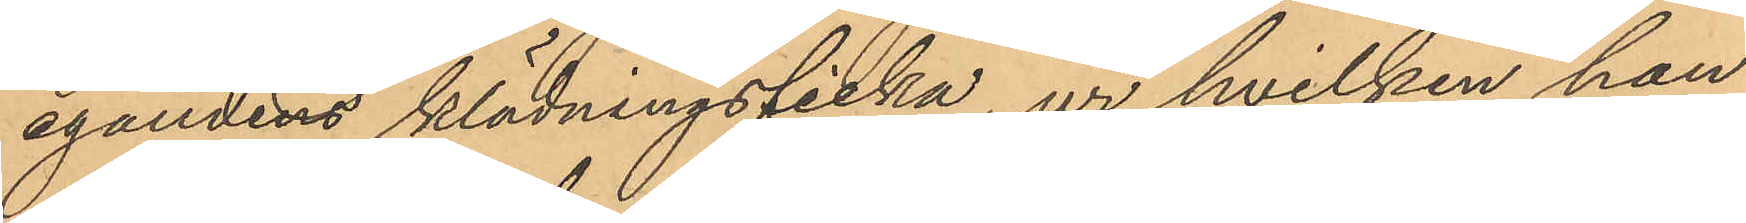egandens klädningsficka, ur hvilken han
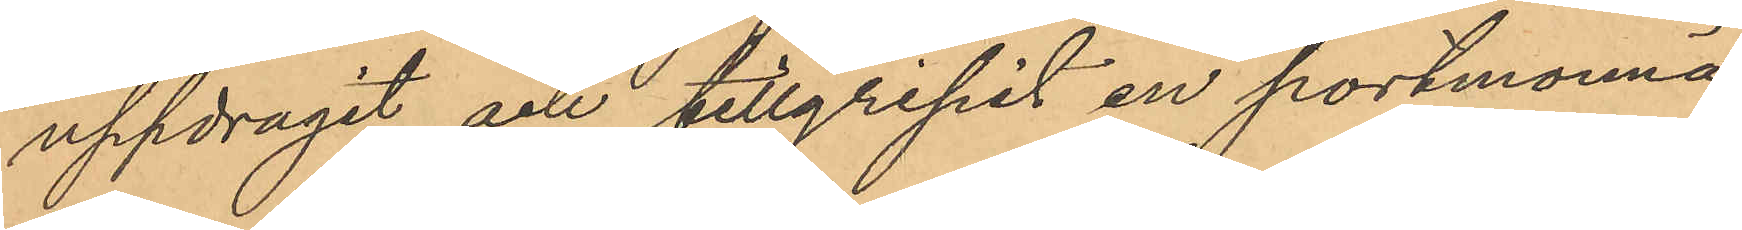uppdragit och tillgripit en portmonnä,
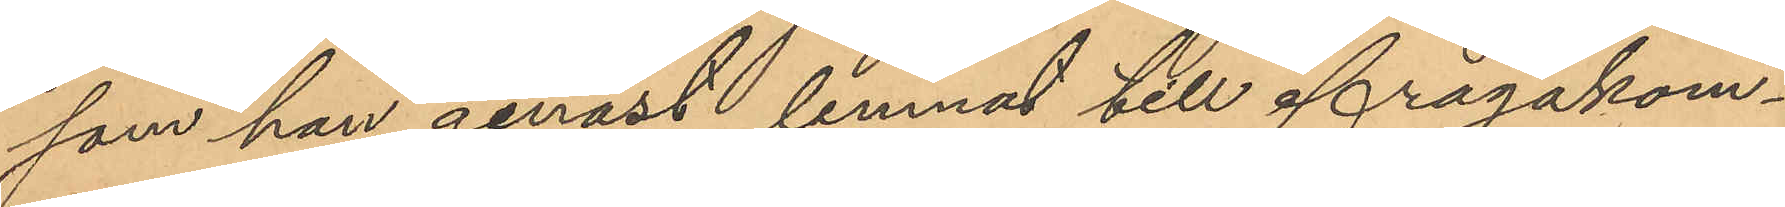som han genast lemnat till ifrågakom¬
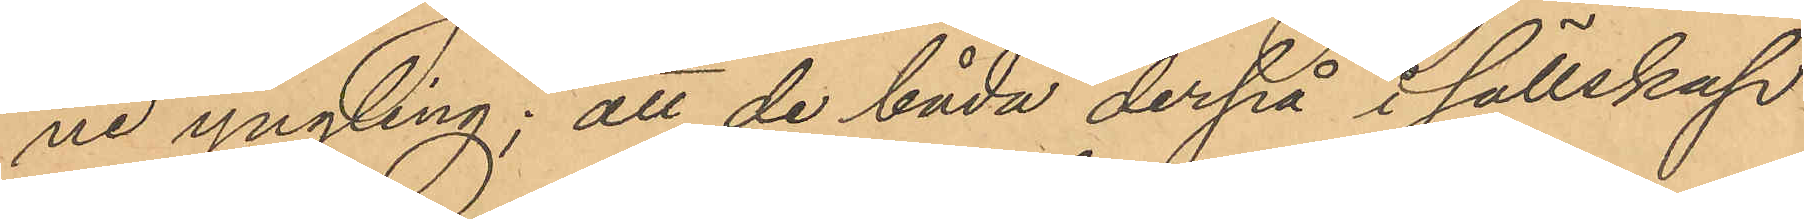ne yngling; att de båda derpå i sällskap
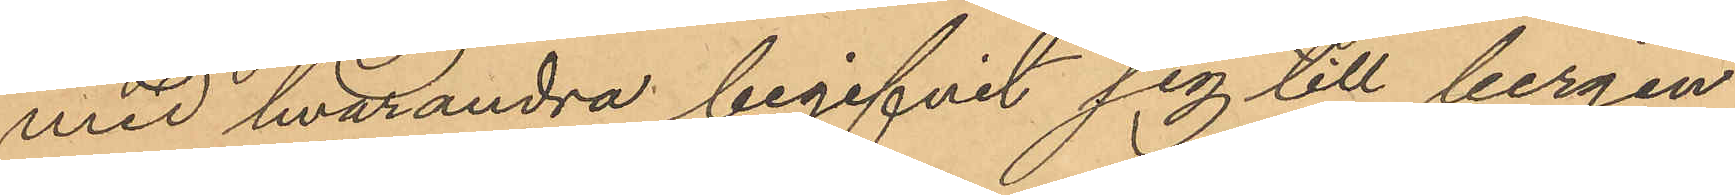med hvarandra begifvit sig till bergen
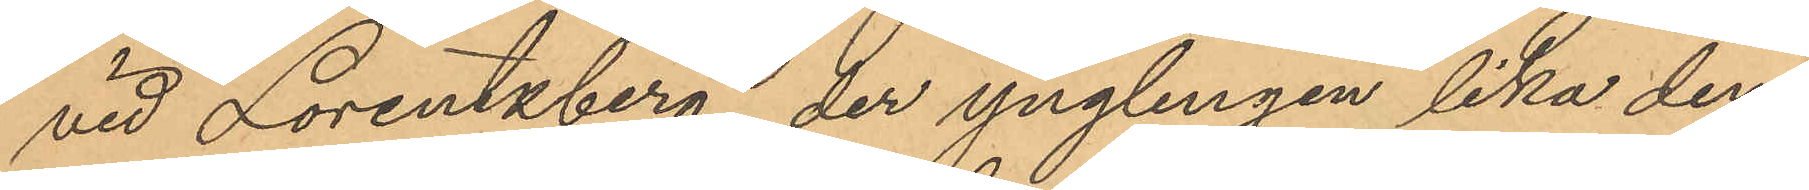vid Lorentzberg, der ynglingen lika dem
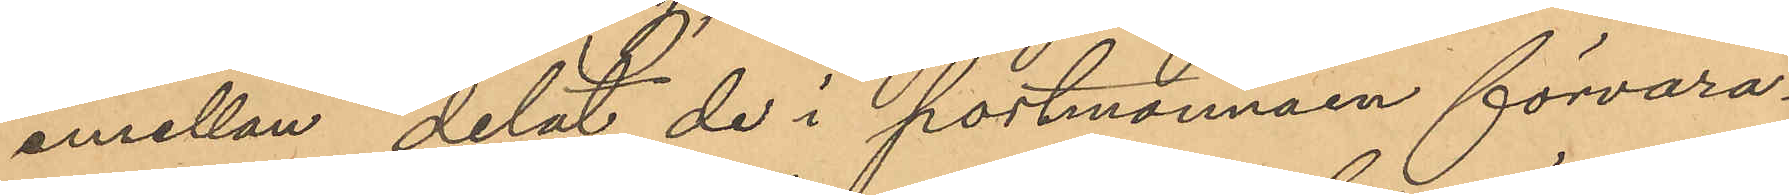emellan delat de i portmonnäen förvara¬
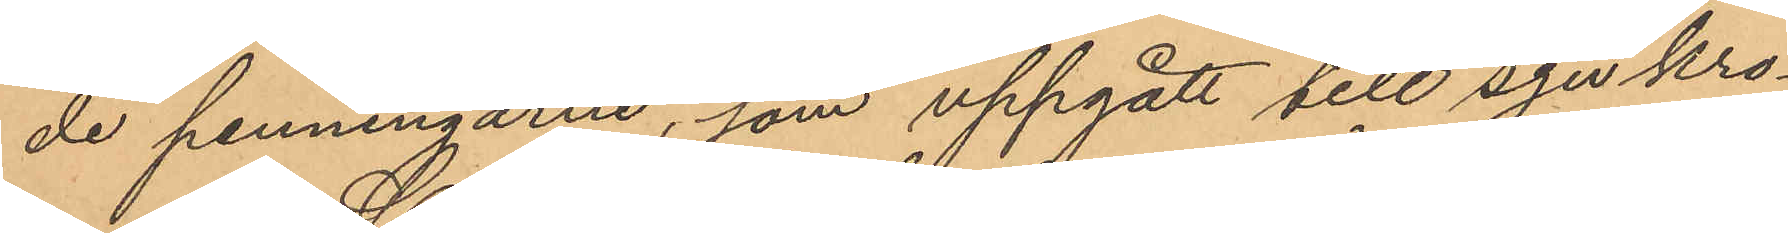de penningarne, som uppgått till sju kro¬
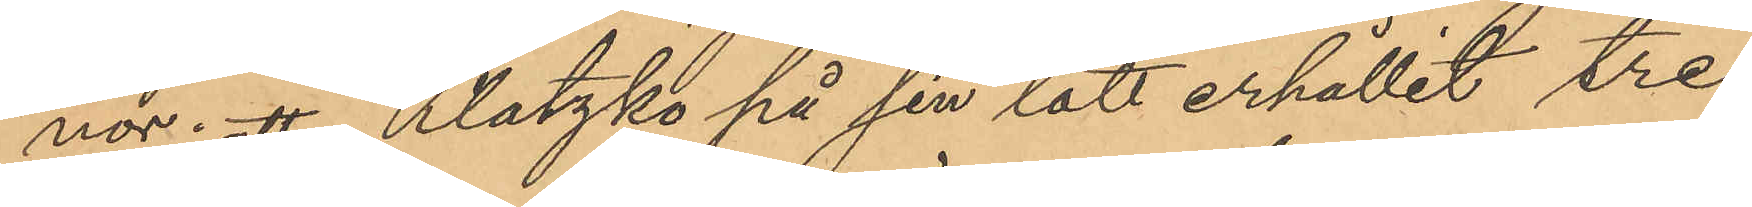nor; att Klatzks på sin lott erhållit tre
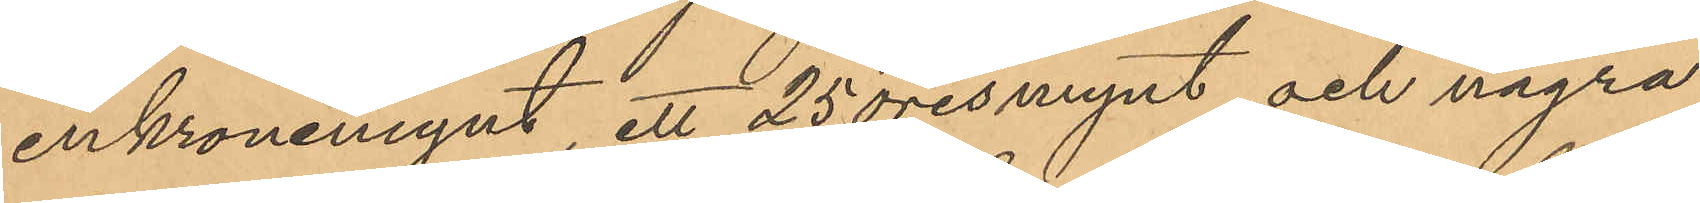enkronemynt, ett 25 öresmynt och några
